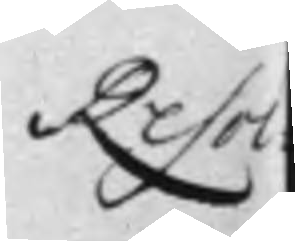Resol¬
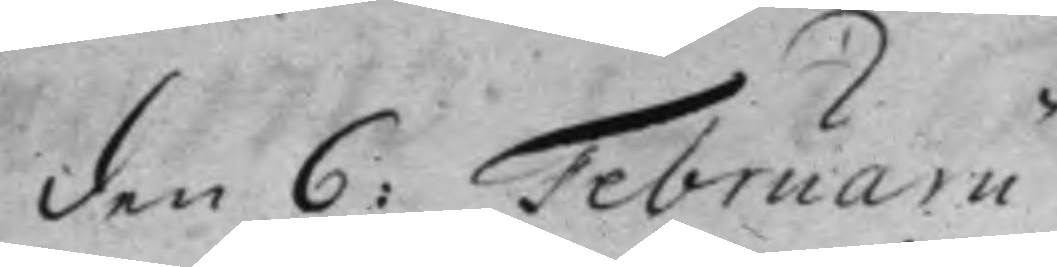den 6: Februarii.
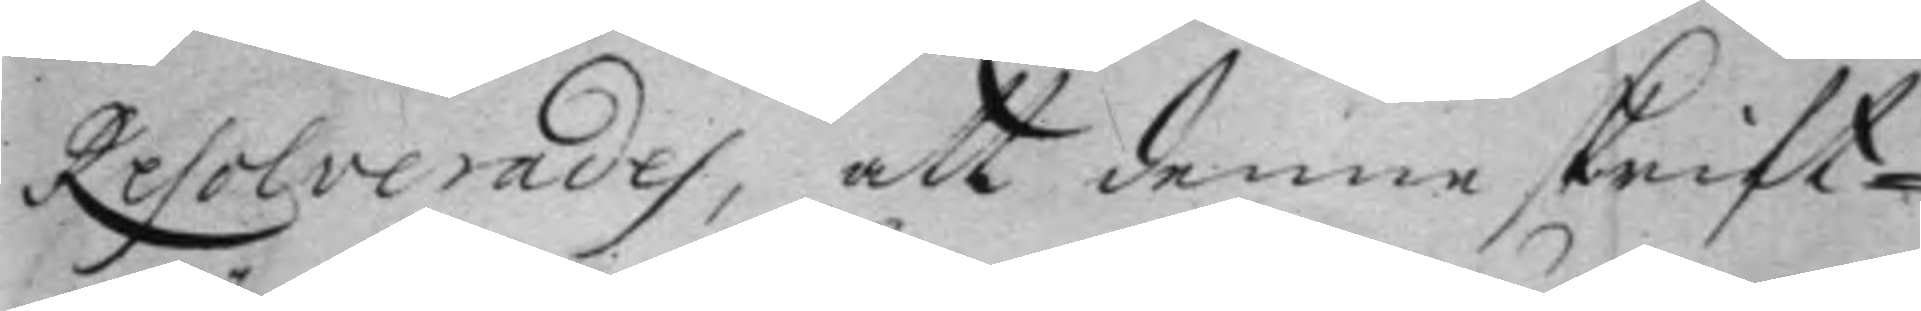Resolverades, att denne skrift¬
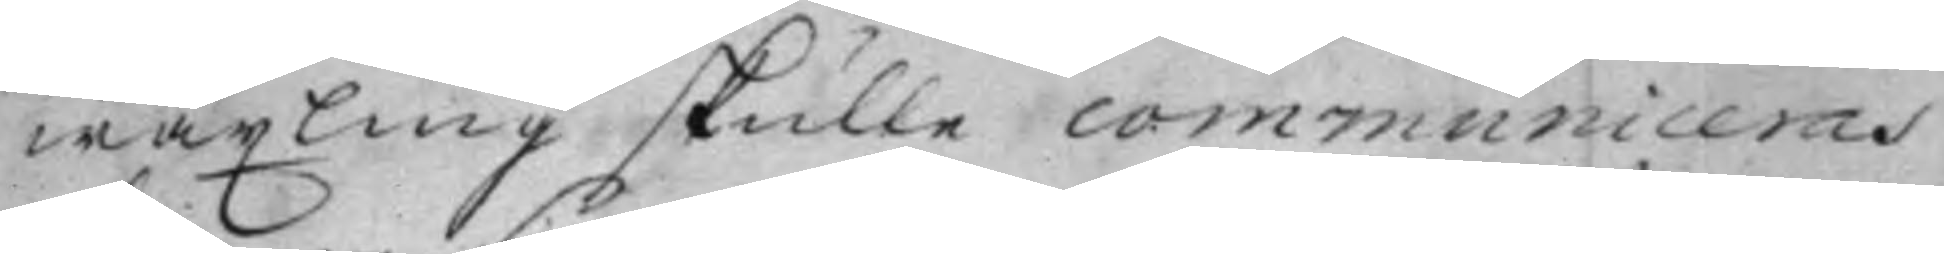wäxling skulle communiceras
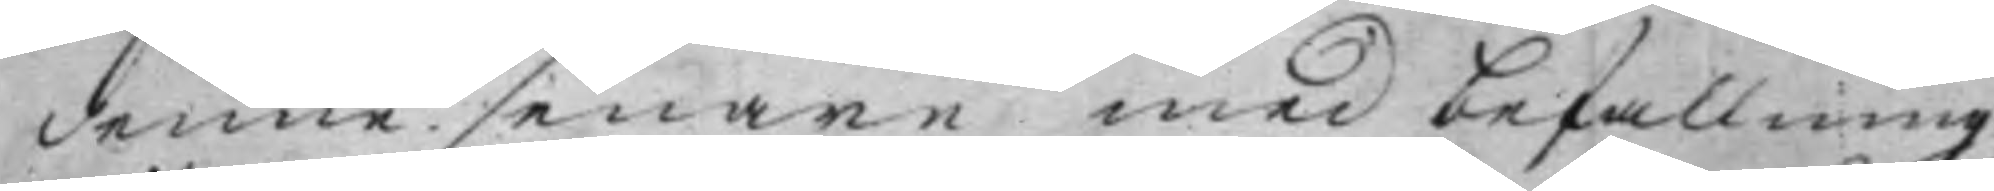denne senare med befallning
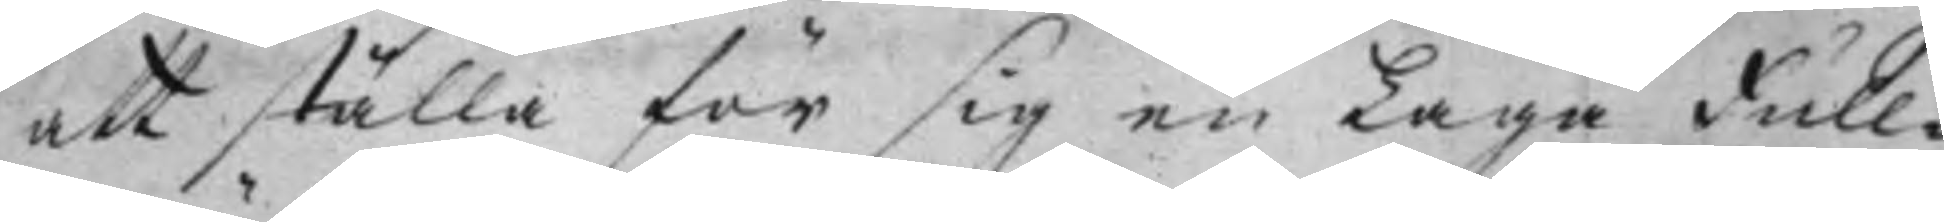att ställa för sig en Laga Full¬
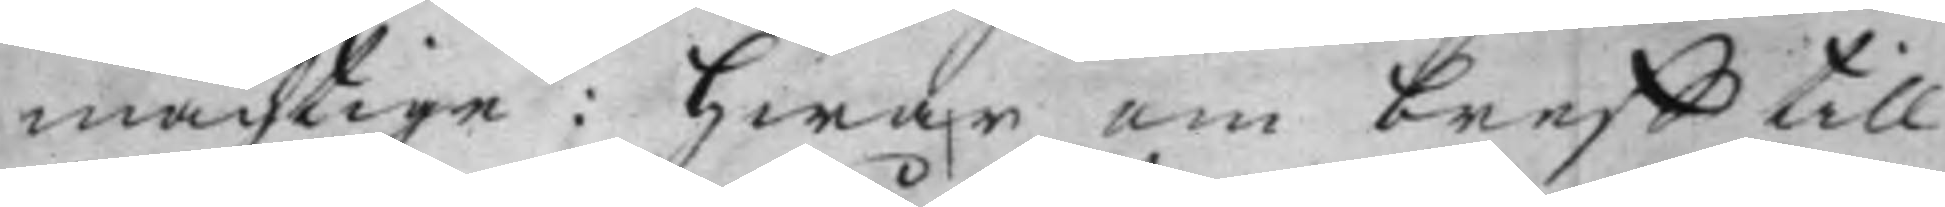mächtige: Hwar om breff till
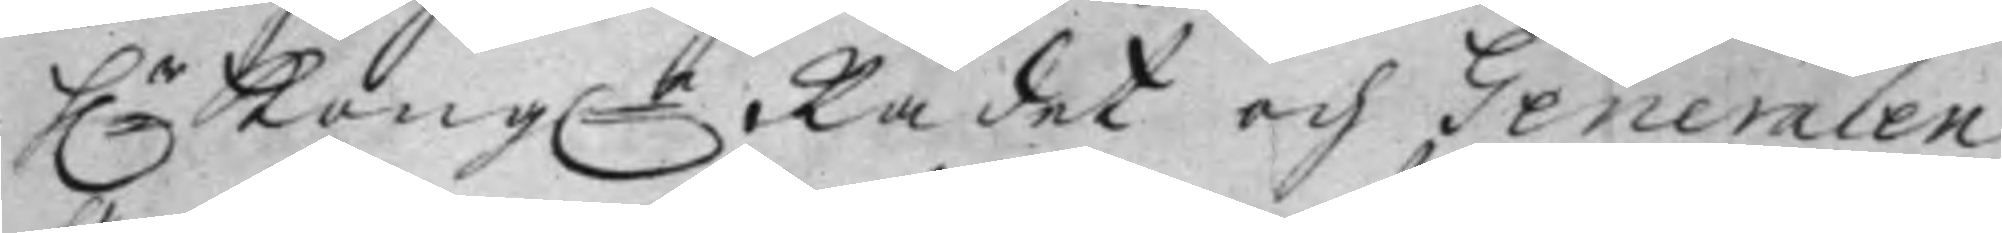h:r Kong:e Rådet och Generalen
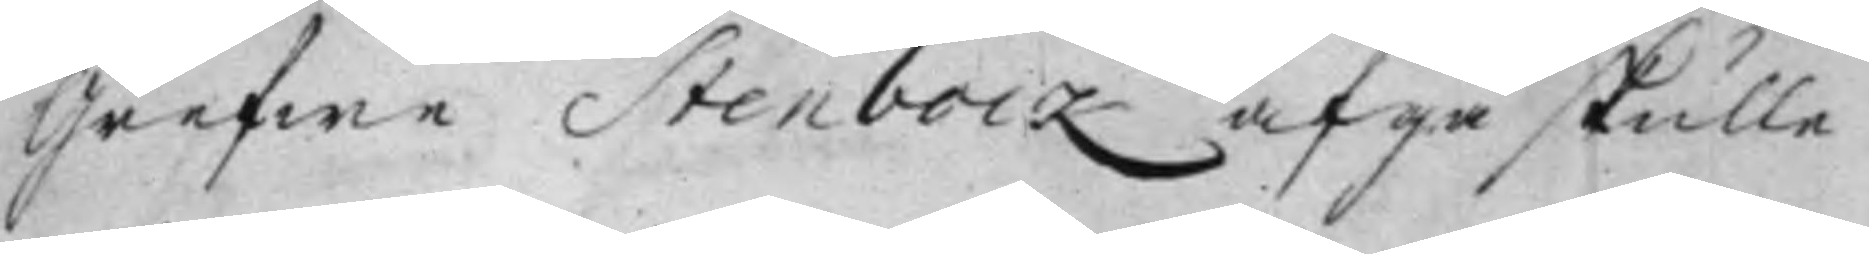Grefwe Stenbock afgå skulle.
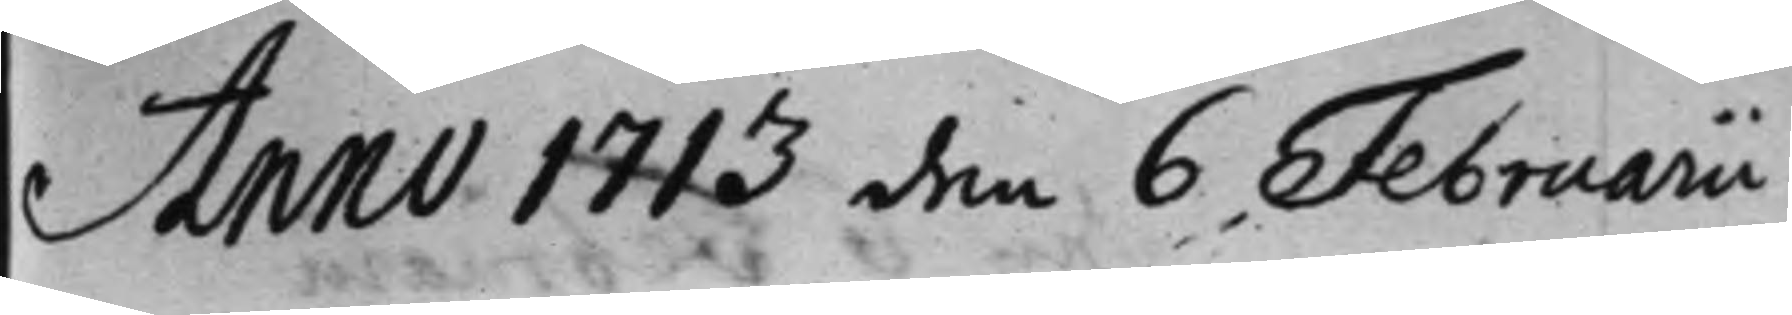Anno 1713 den 6 Februarii.
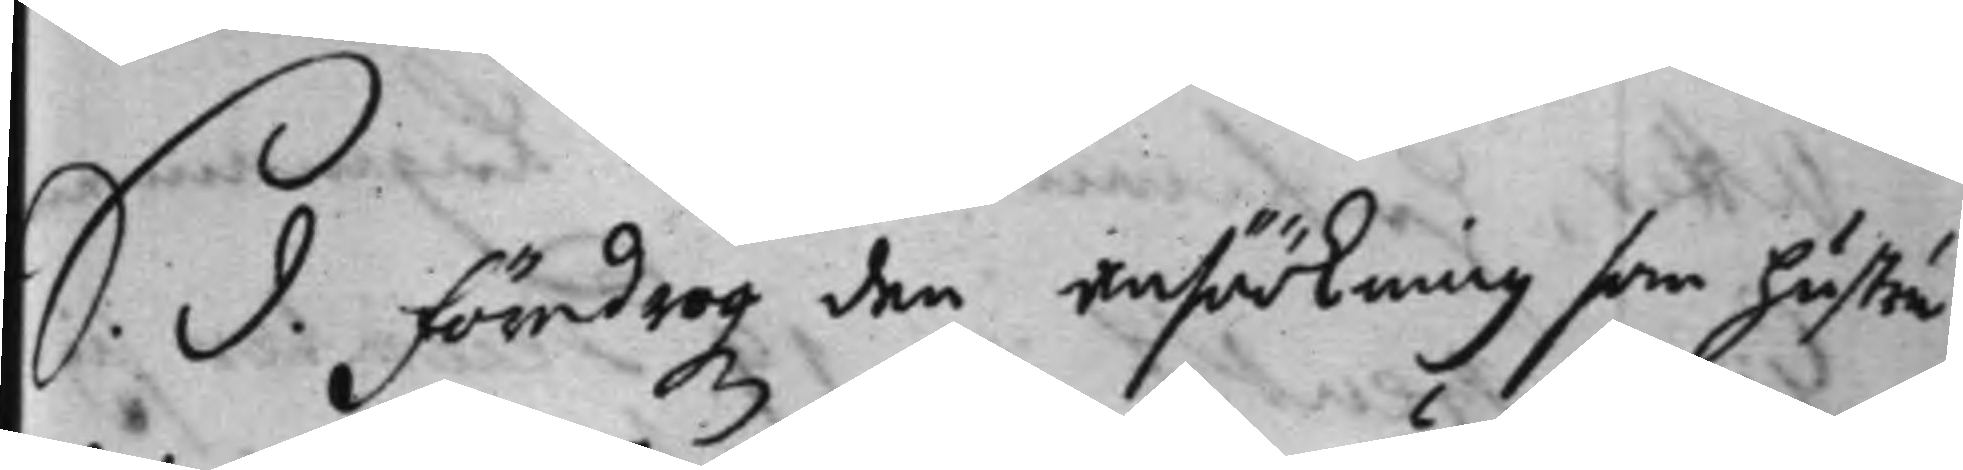S. d. Föredrogz den ansöökning som hustru
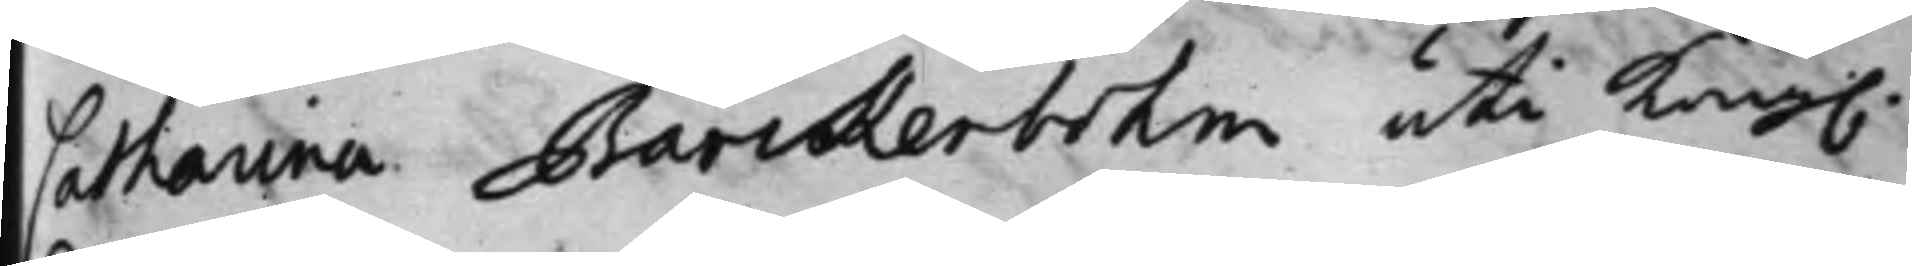Catharina Barckenbohm uti Kong.
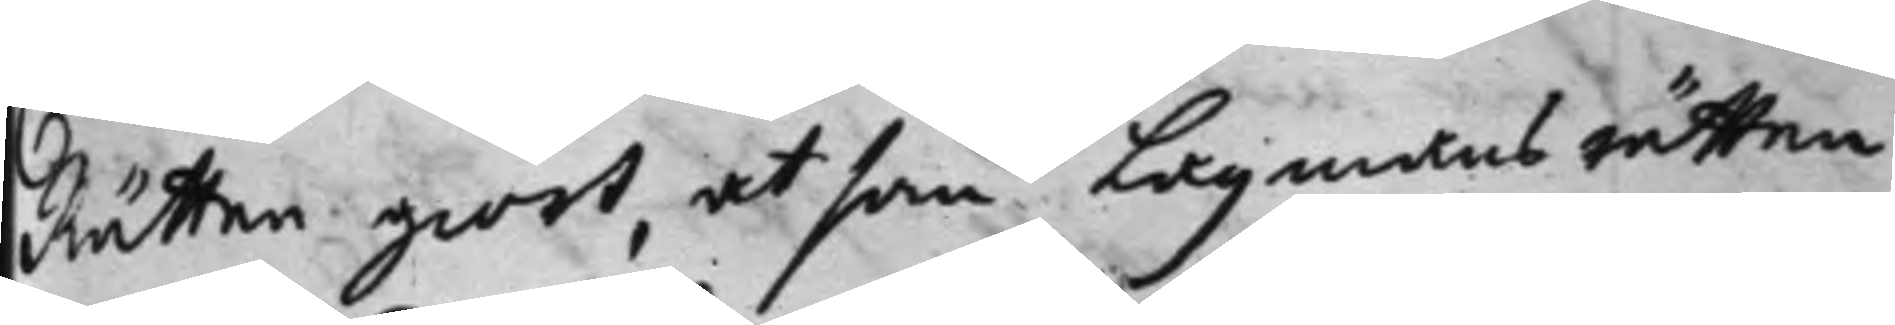Rätten giort, at som Lagmans rätten
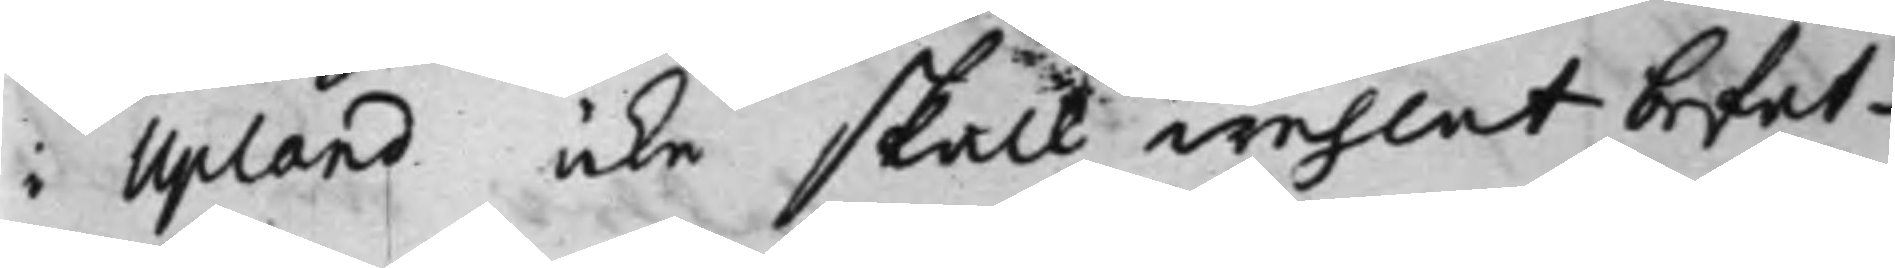i Upland icke skall wehlat befat¬
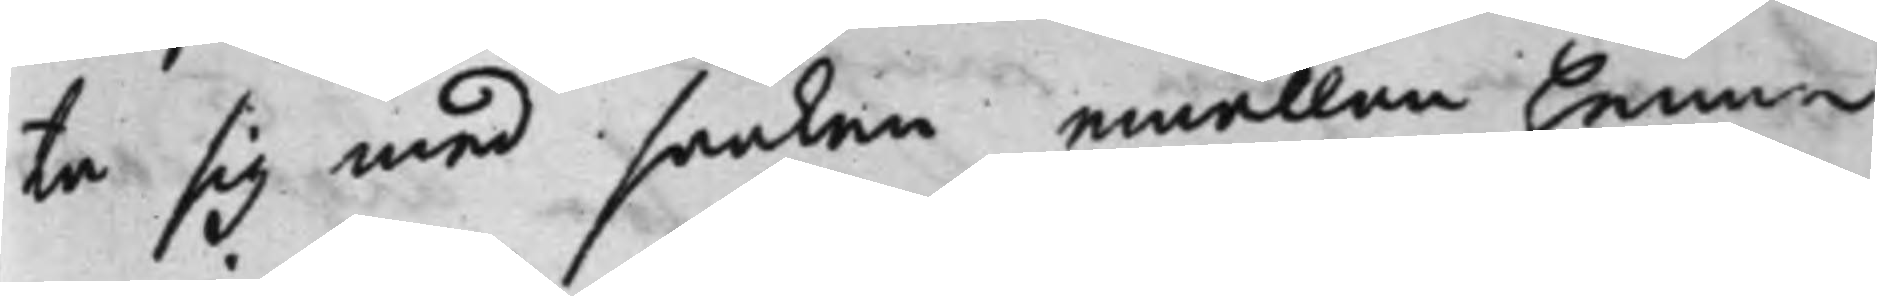ta sig med saaken emällan henne
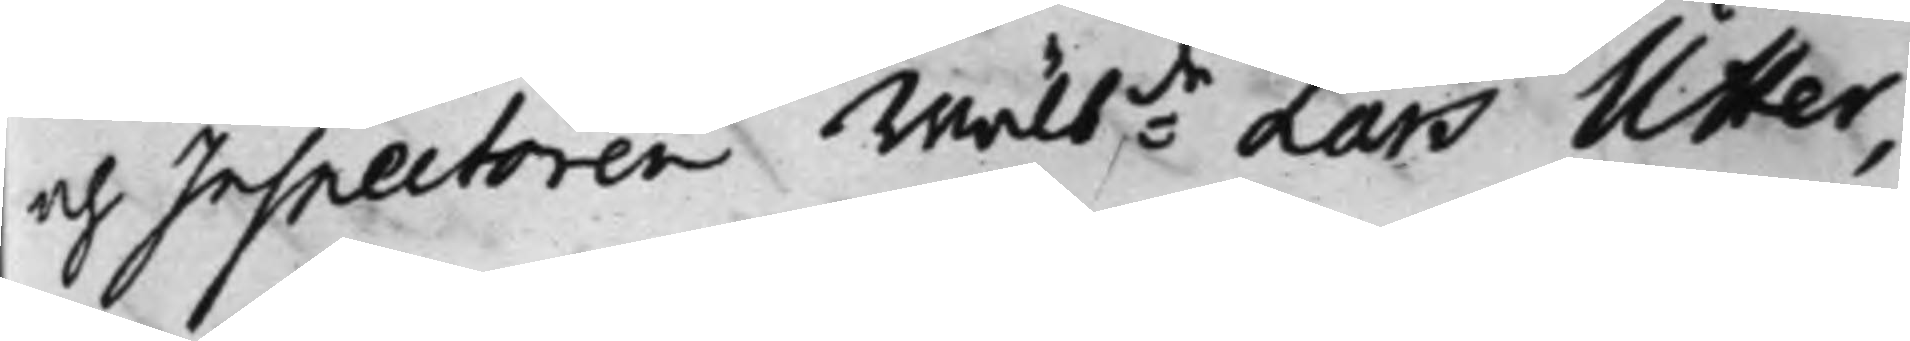och Inspectoren Wälb:de Lars Utter,
